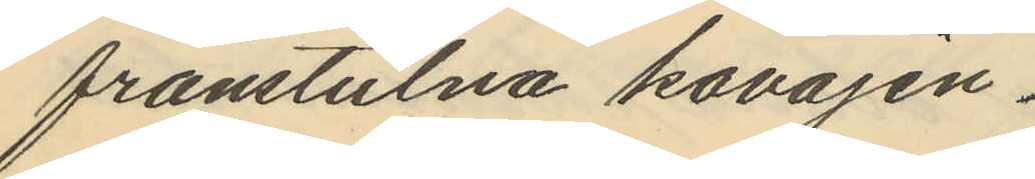frånstulna kavajen.
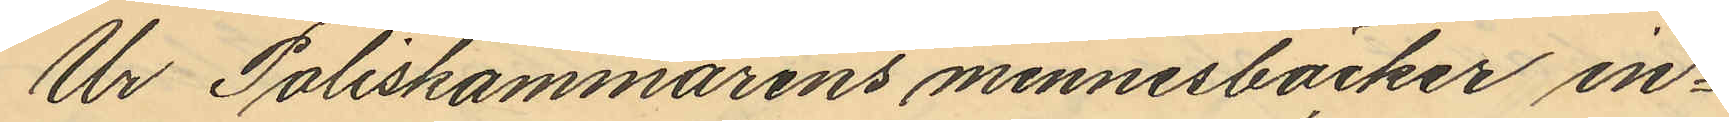Ur Poliskammarens minnesböcker in¬
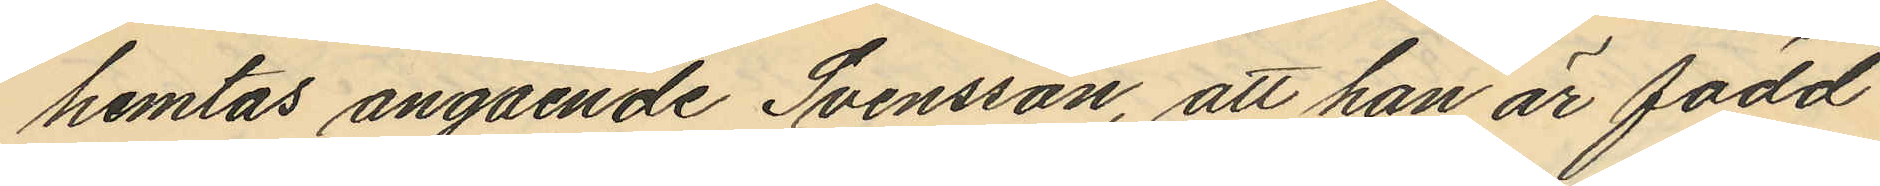hemtas angående Svensson, att han är född
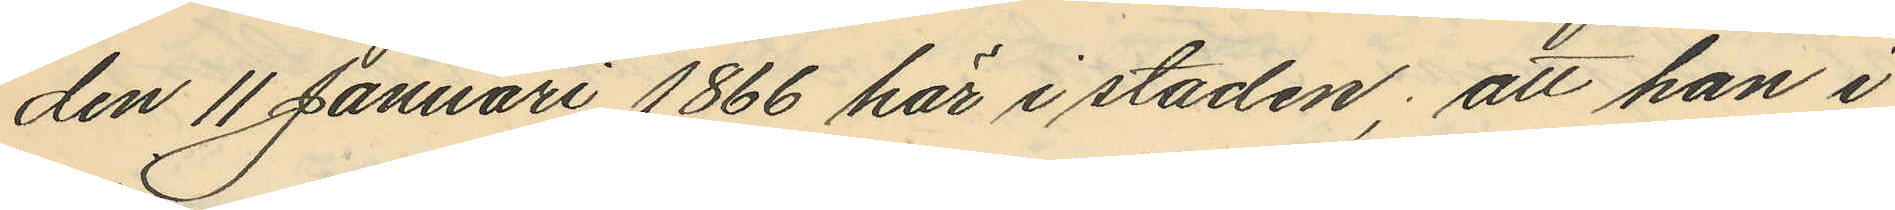den 11 Januari 1866 här i staden; att han i
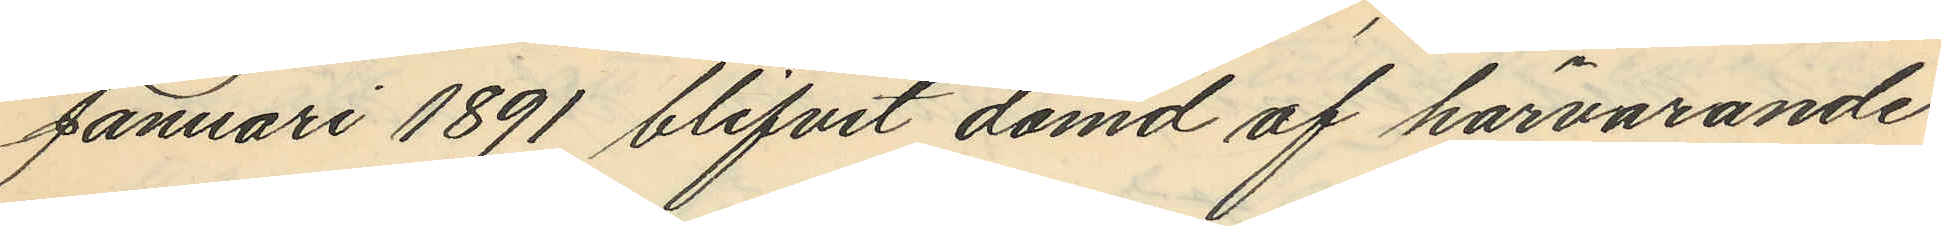Januari 1891 blifvit dömd af härvarande
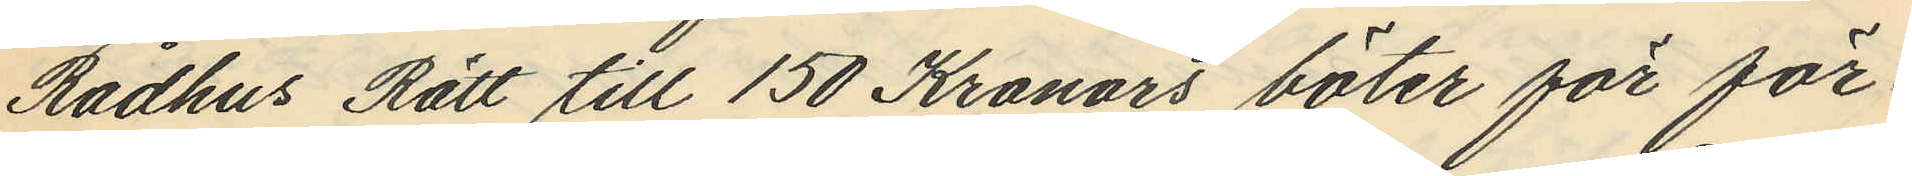Rådhus Rätt till 150 Kronors böter för för¬
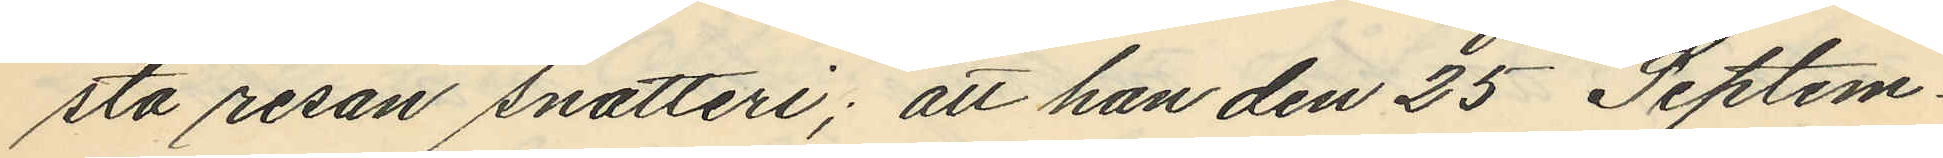sta resan snatteri; att han den 25 Septem¬
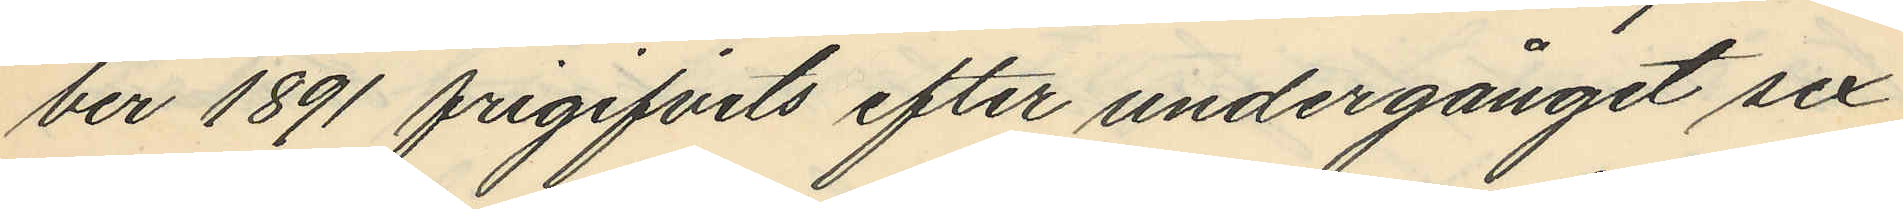ber 1891 frigifvits efter undergånget sex
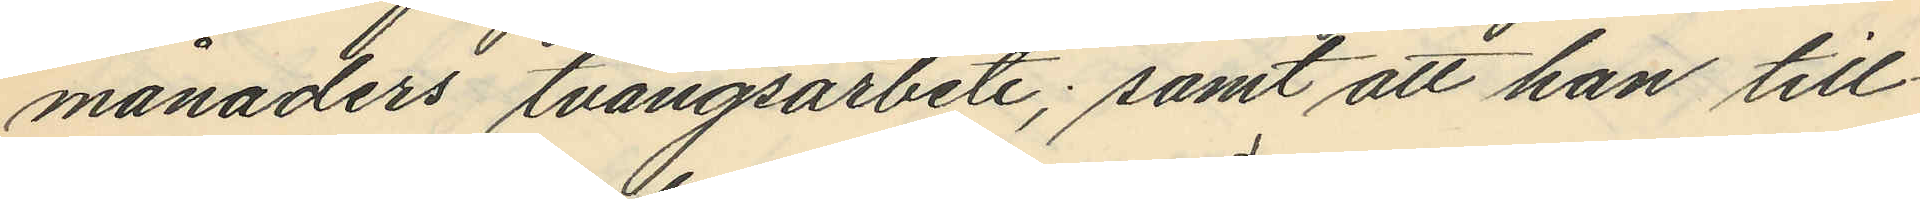månaders tvångsarbete; samt att han till¬
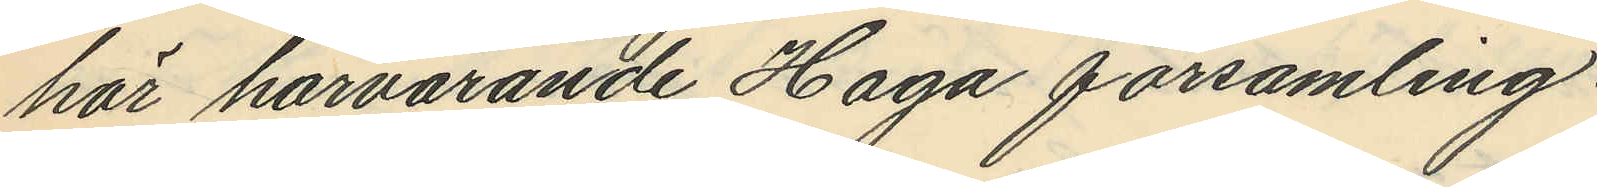hör härvarande Haga församling.
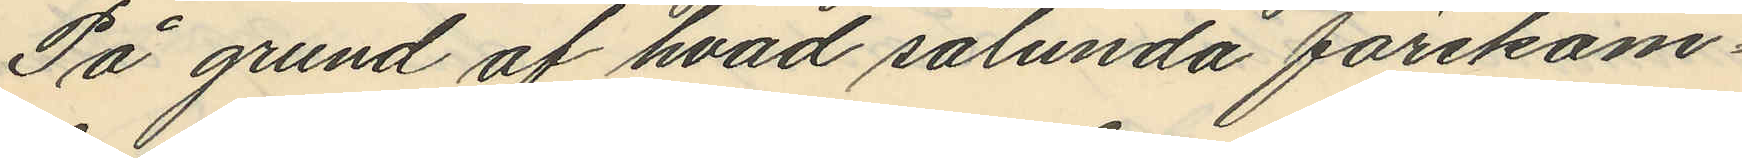På grund af hvad sålunda förekom¬
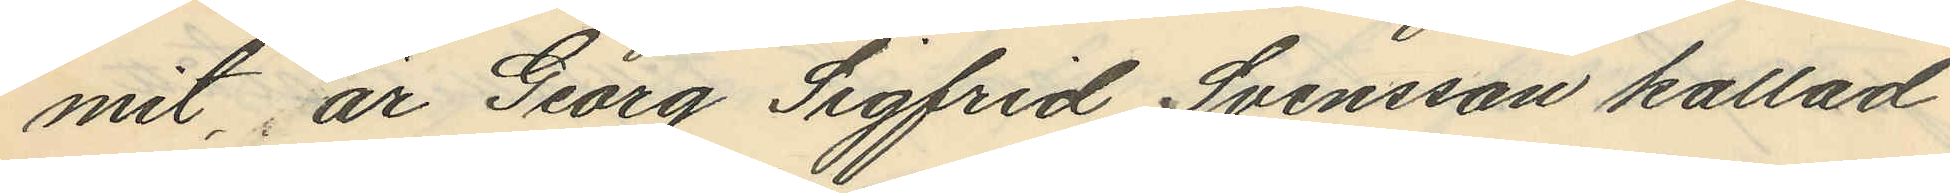mit, är Georg Sigfrid Svensson kallad
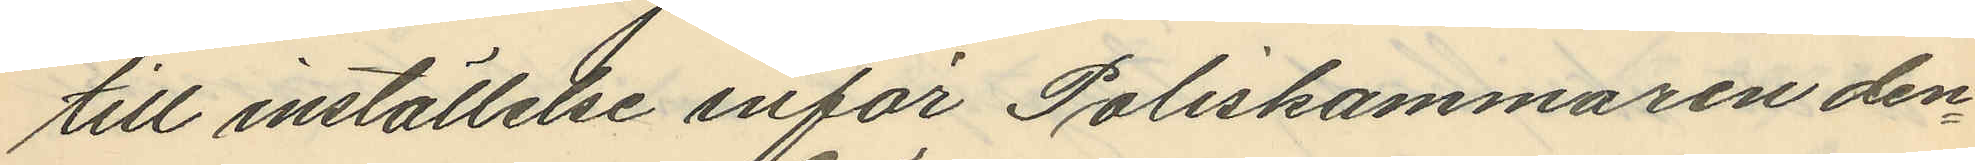till inställelse inför Poliskammaren den¬
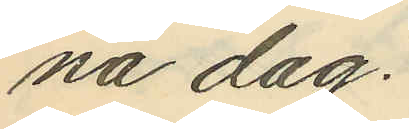na dag.
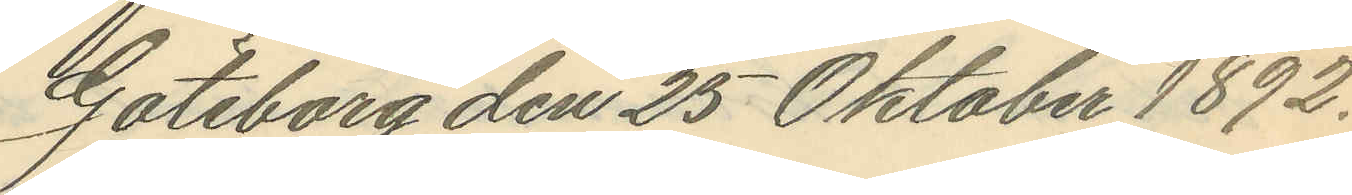Göteborg den 25 Oktober 1892.
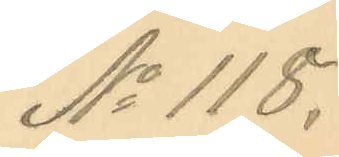No 118.
